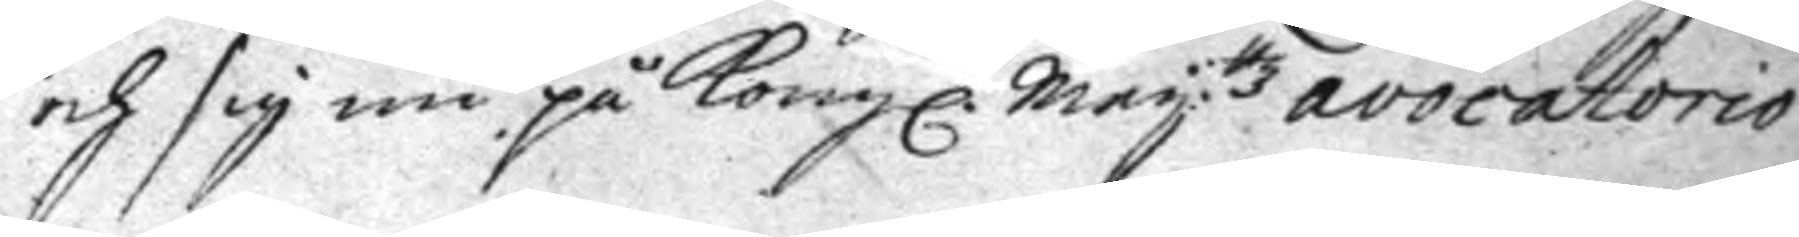och sig nu på Kongl. May:ttz avocatorio
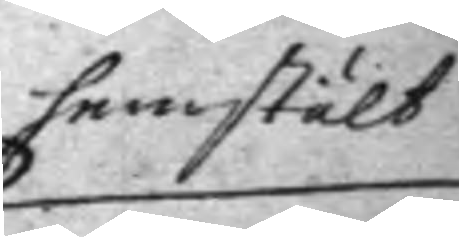hemstält
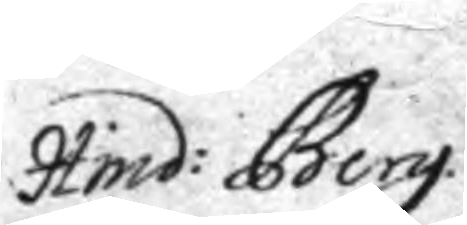Hind: Berg.
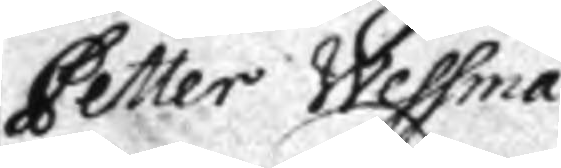Petter Wessman.
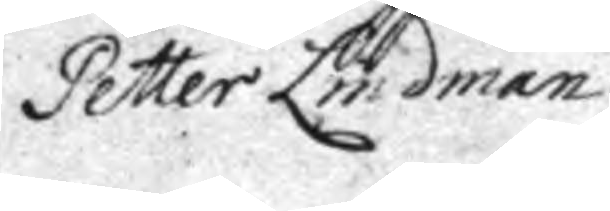Petter Lindman.
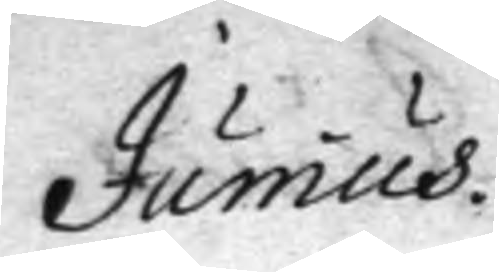Junius.
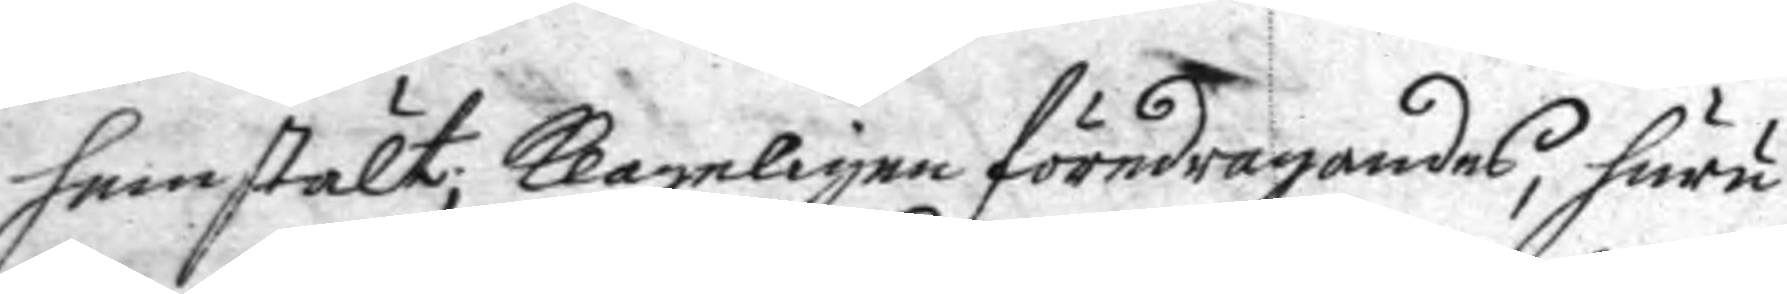hemstält; klageligen föredragandes, huru
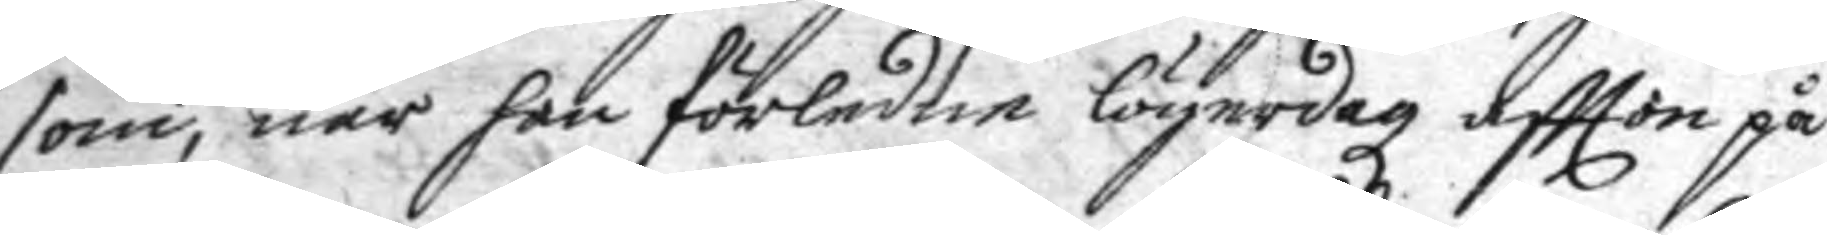som, när han förledne lögerdageftter på
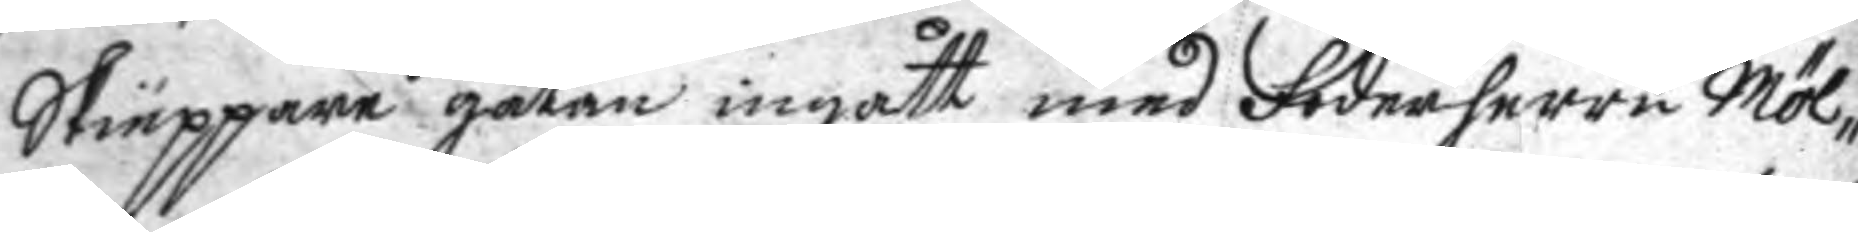Skiäppare gatan ingått med Foderherre Möl¬
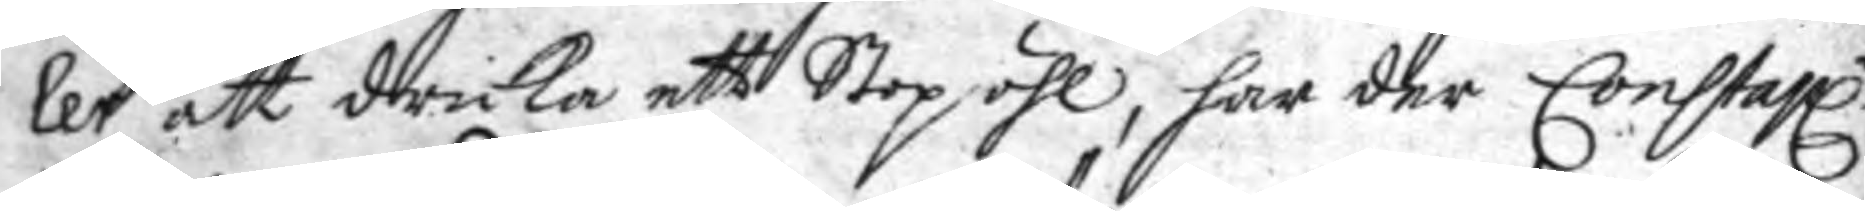ler att dricka ett Stop öhl, har der Constapl:n
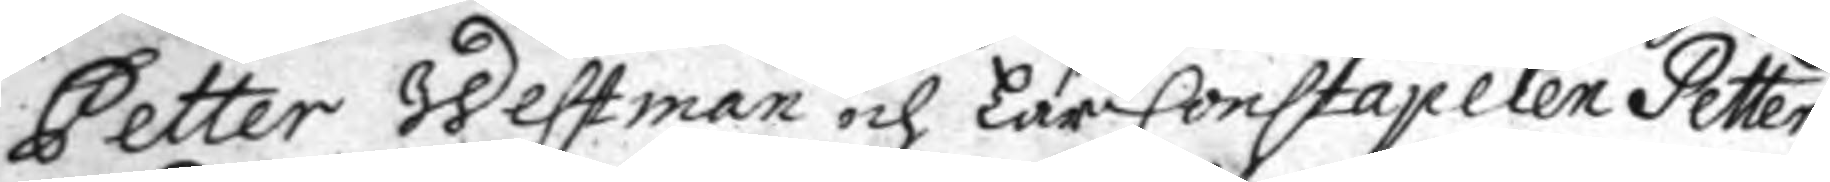Petter Westman och LärConstapelen Petter
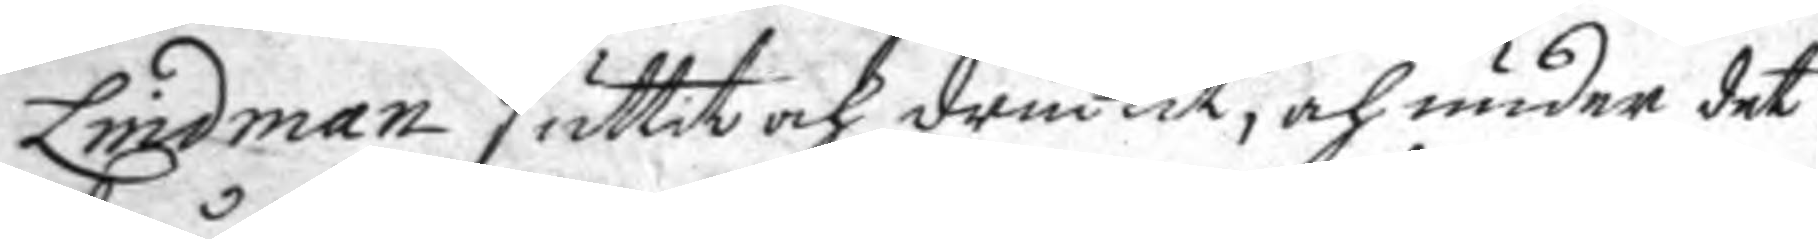Lindman suttit och druckit, och under det
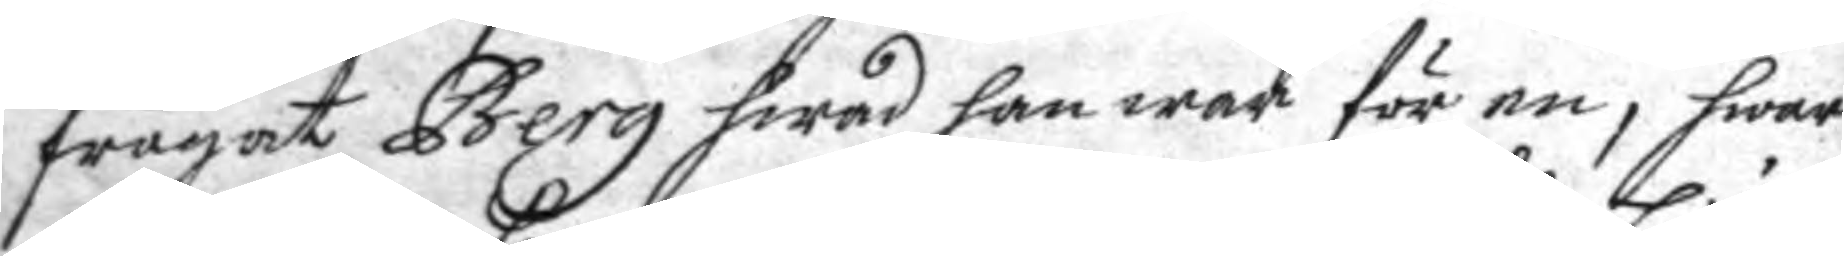frågat Berg hwad han war för en, hwar
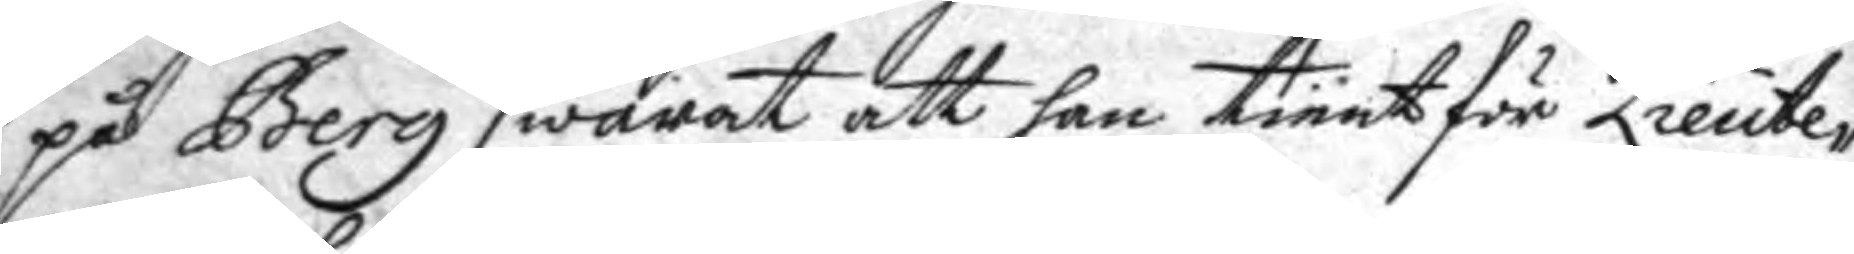på Berg swarat att han tiänt för Lieute¬
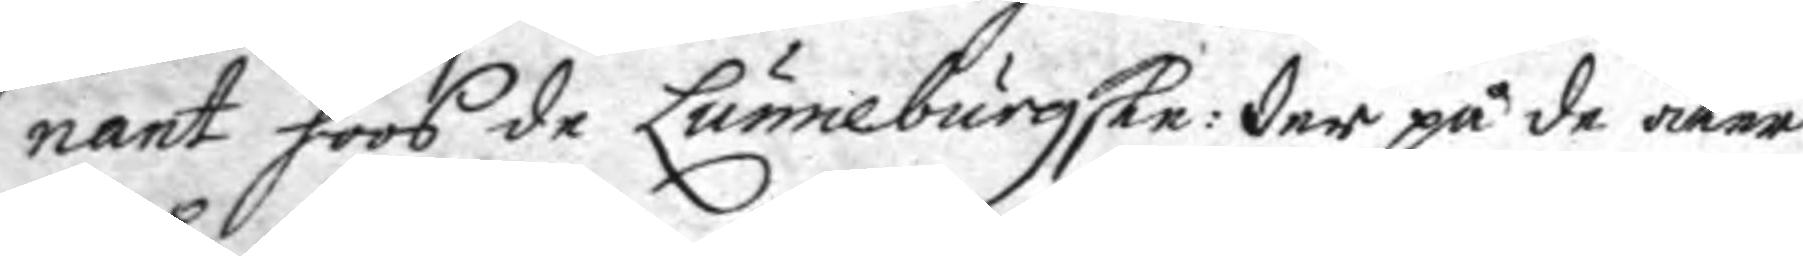nant hoos de Lunneburgske: der på de åter
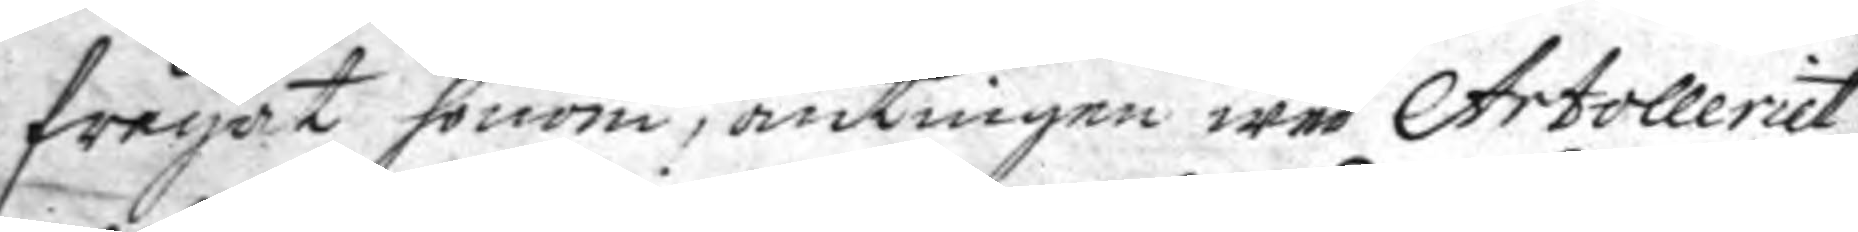frågat honom, antingen wed Artolleriet
